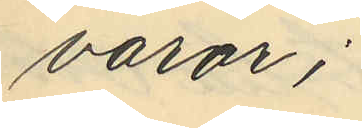varor;
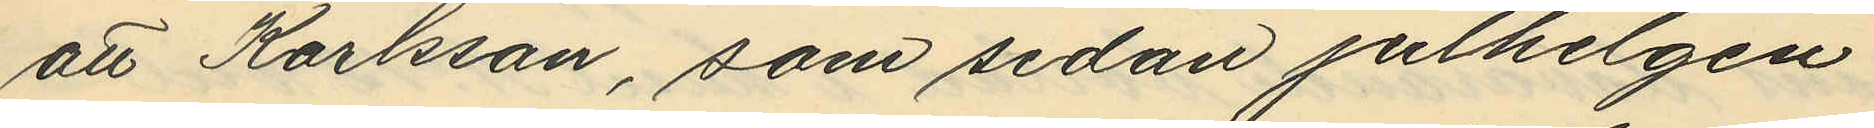att Karlsson, som sedan julhelgen
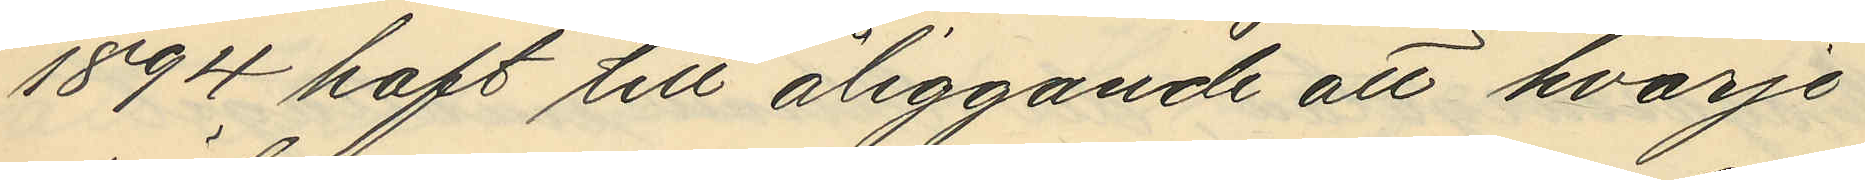1894 haft till åliggande att hvarje
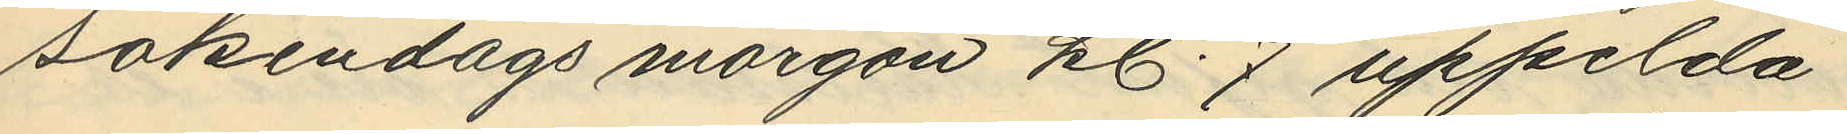sökendags morgon kl. 7 uppelda
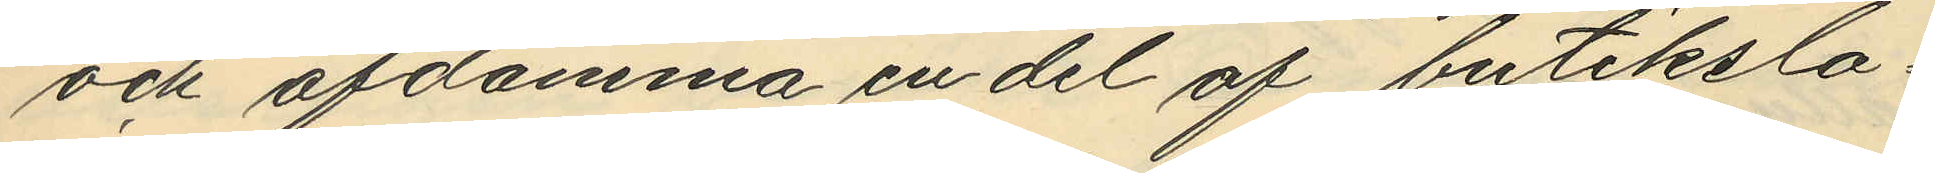och afdamma en del af butikslo¬
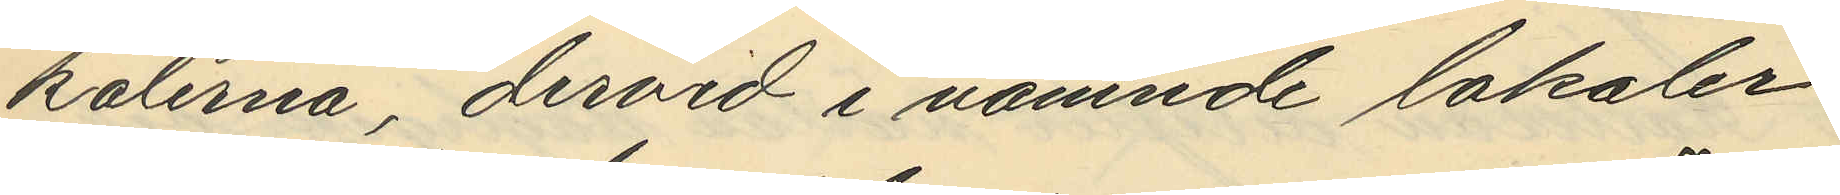kalerna, dervid i nämnde lokaler
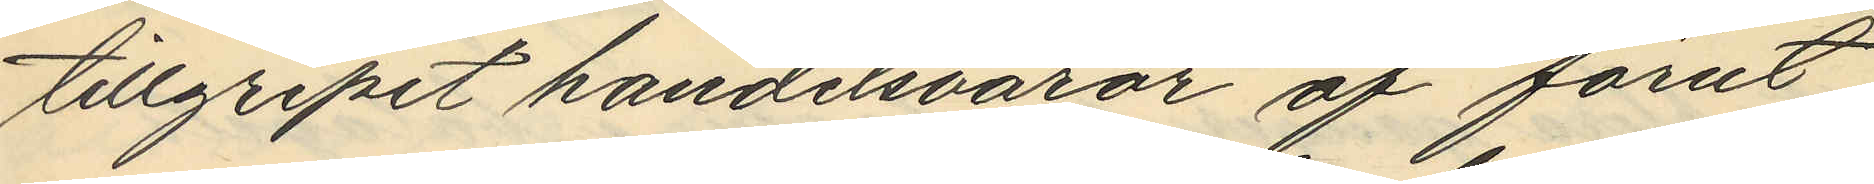tillgripit handelsvaror af förut
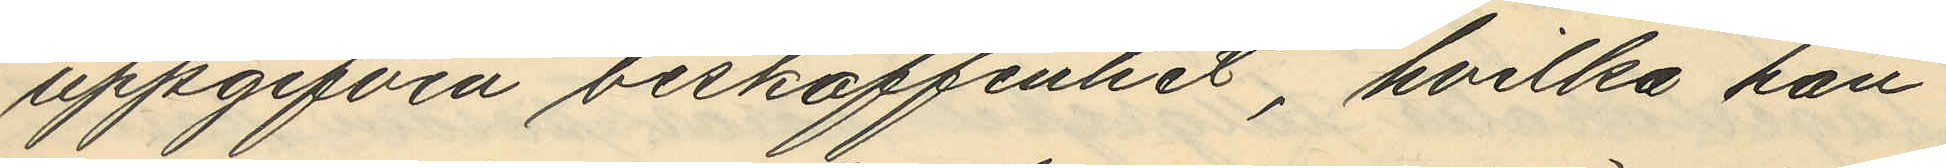uppgifven beskaffenhet, hvilka han
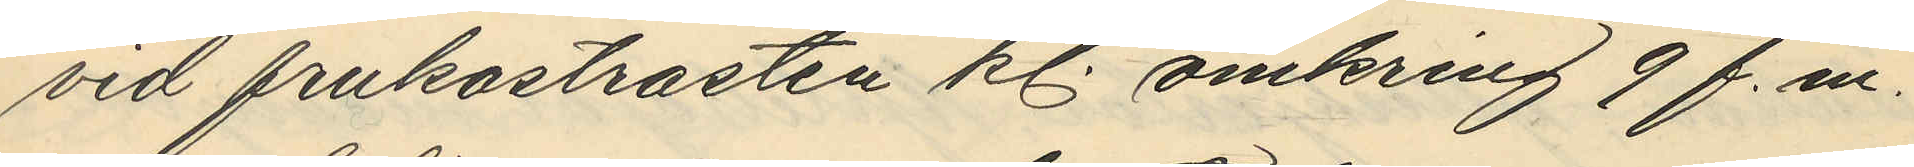vid frukostrasten kl. omkring 9 f.m.
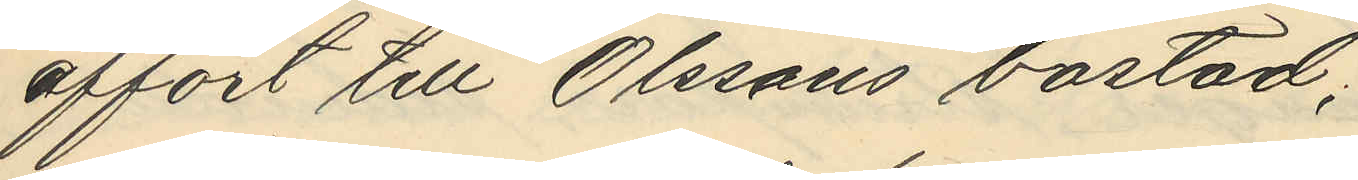affört till Olssons bostad;
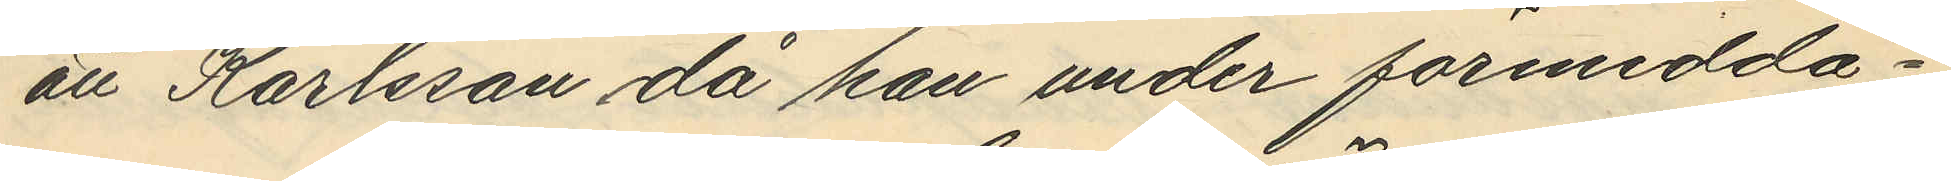att Karlsson då han under förmidda¬
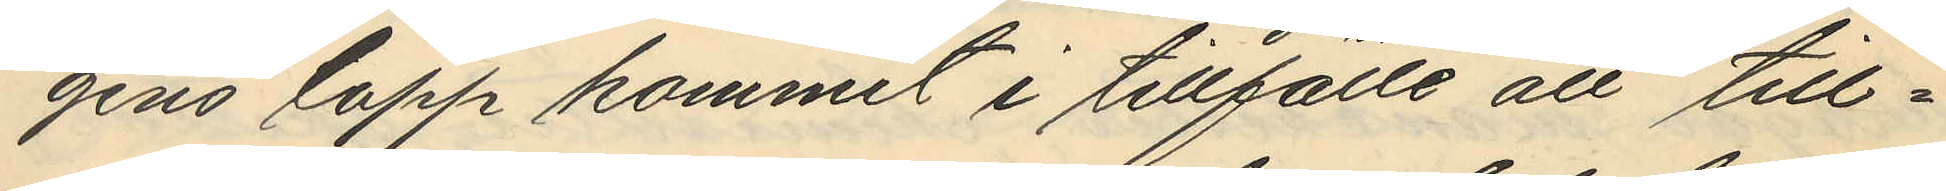gens lopp kommit i tillfälle att till¬
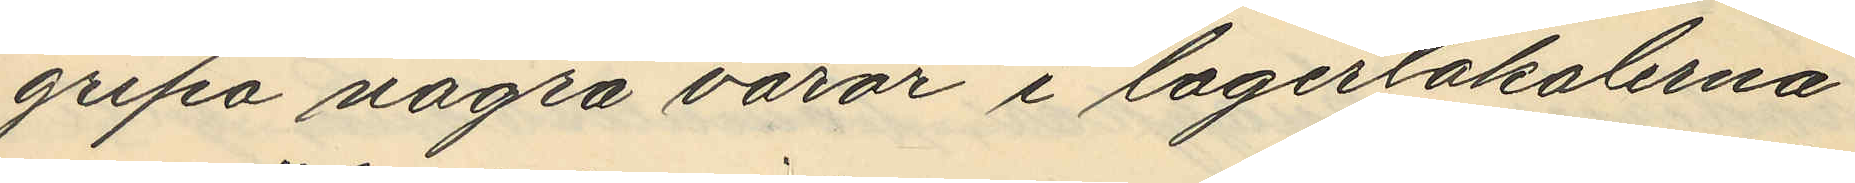gripa några varor i lagerlokalerna
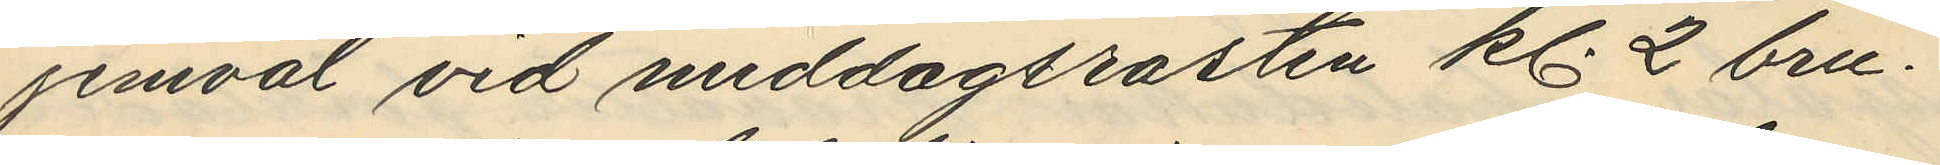jemväl vid middagsrasten kl. 2 bru¬
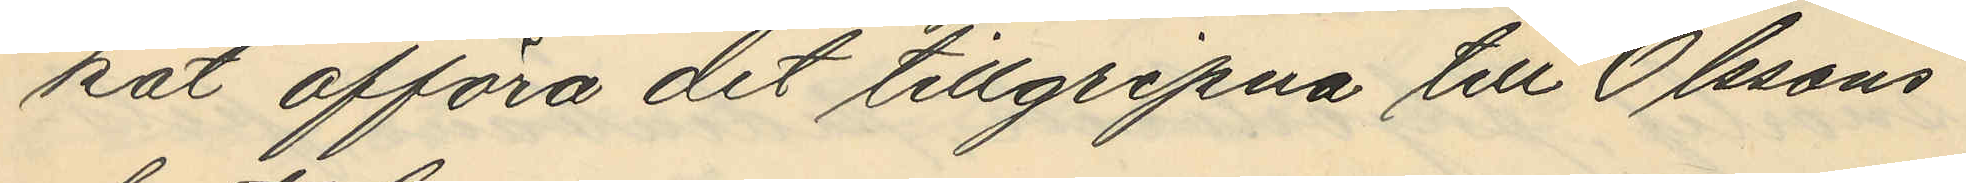kat afföra det tillgripna till Olssons
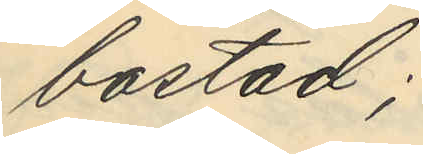bostad;
